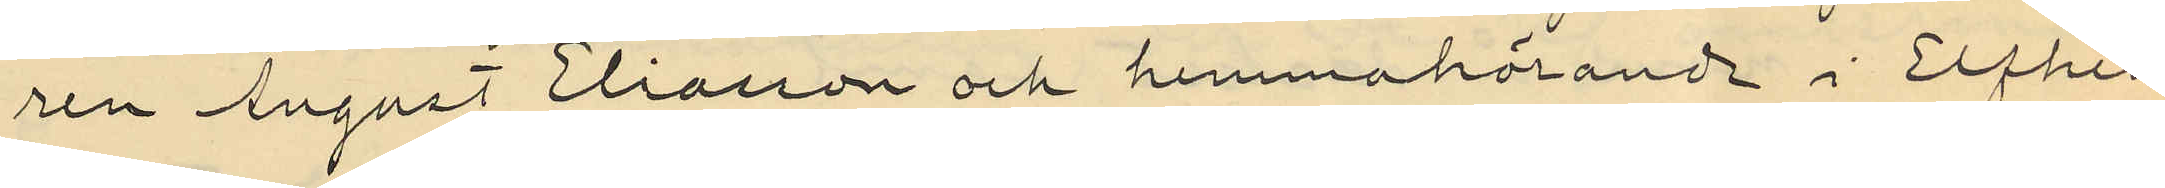ren August Eliasson och hemmahörande i Elfhem
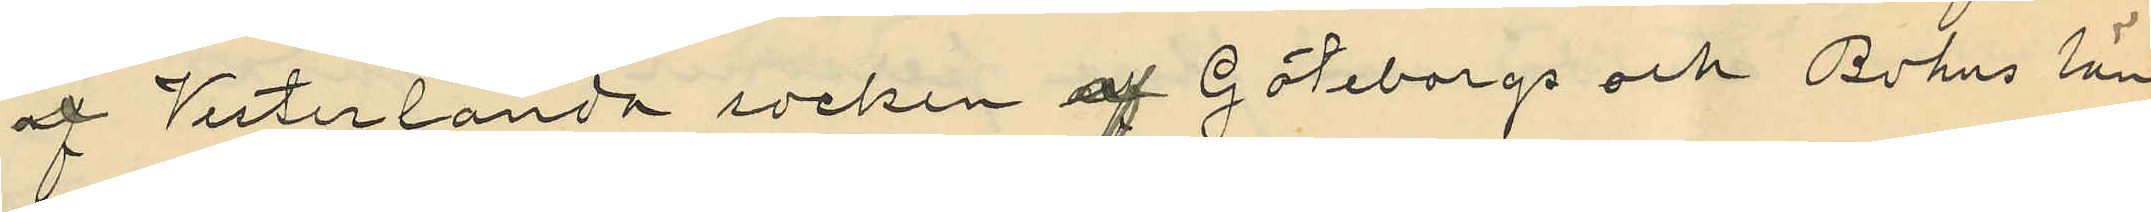af Vesterlanda socken af Göteborgs och Bohus län
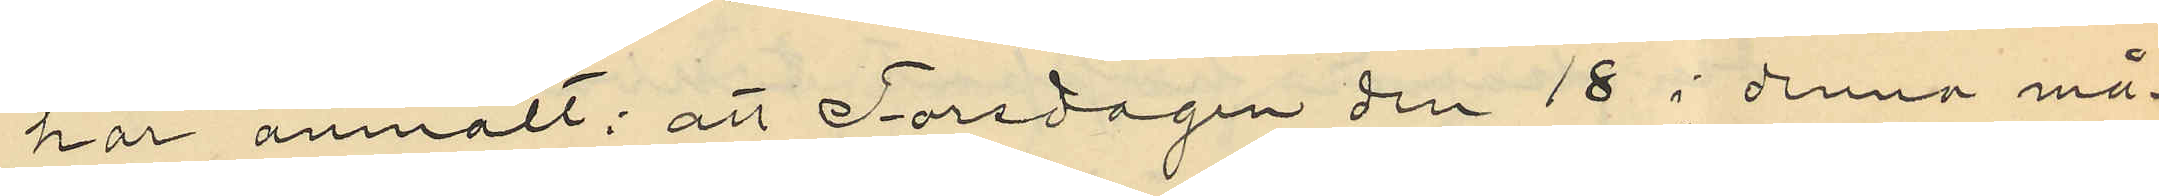har anmält: att Torsdagen den 18 i denna må¬
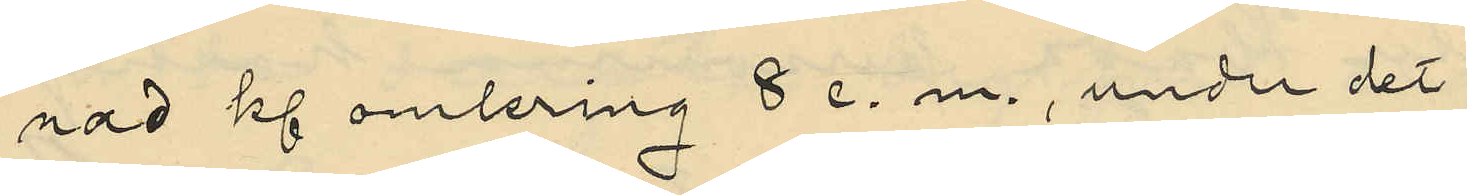nad kl omlring 8 e. m., under det
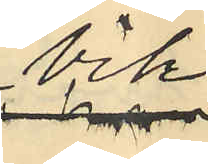Vik
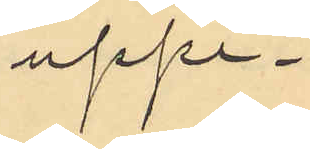uppe¬
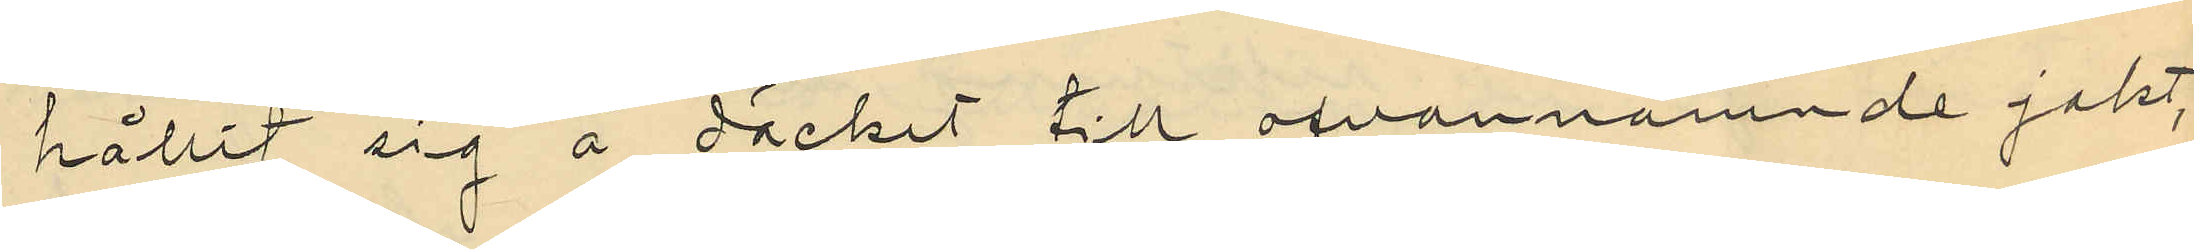hållit sig å däcket till ofvannämnde jakt
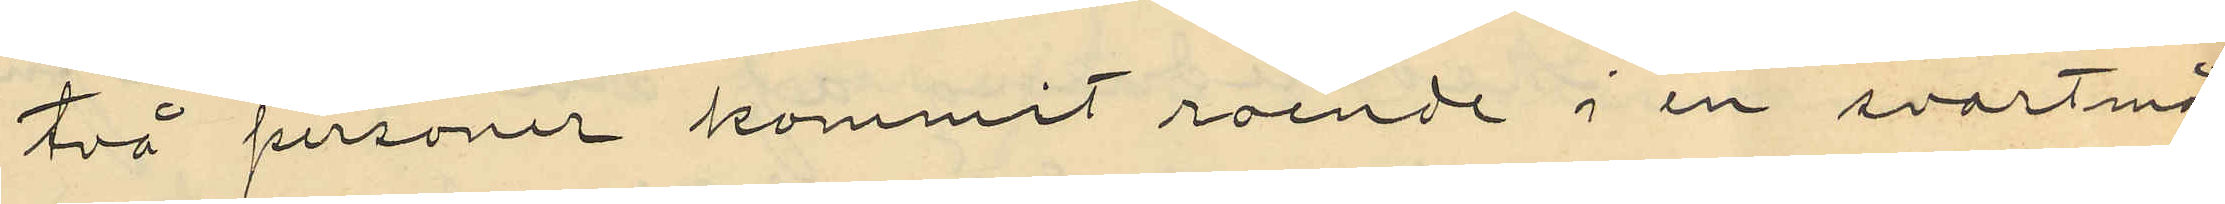två personer kommit roende i en svartmå¬
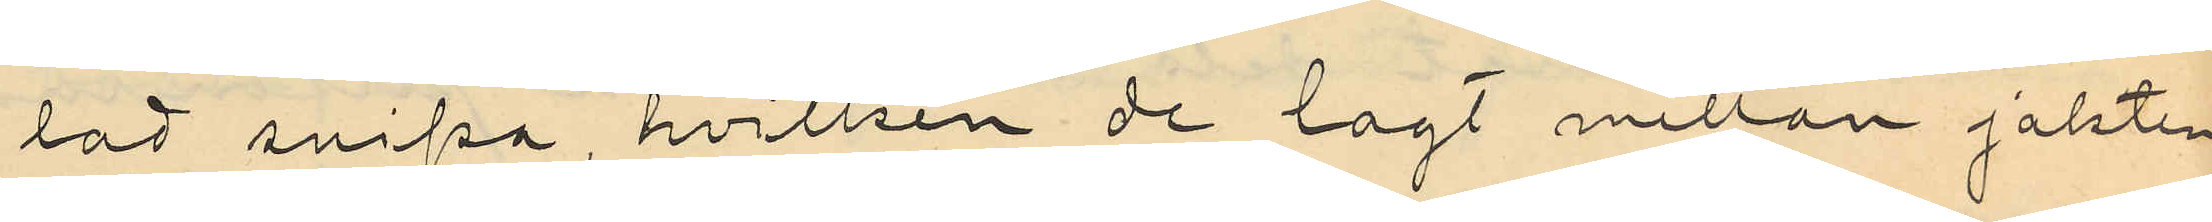lad snipa hvilken de lagt mellan jakten
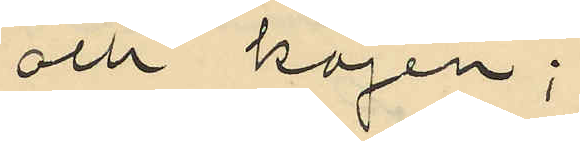och kajen;
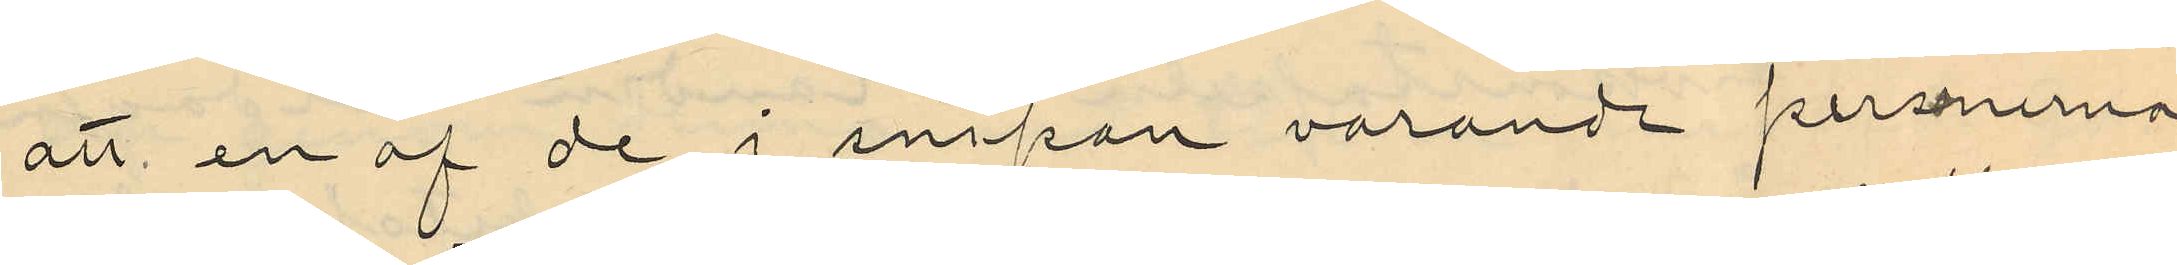att en af de i snipan varande personerna
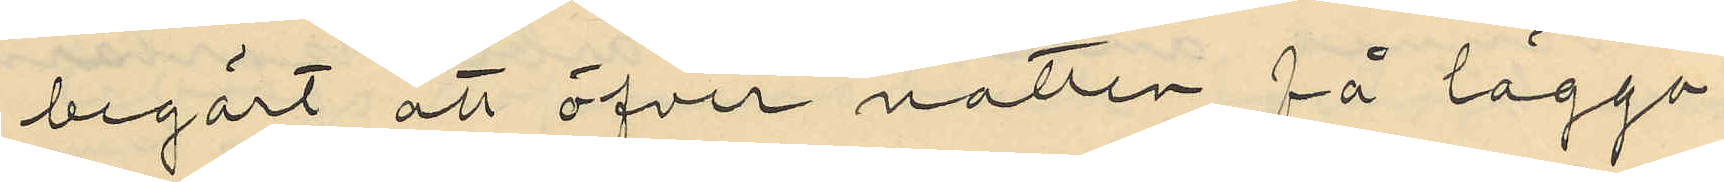begärt att öfver natten få lägga
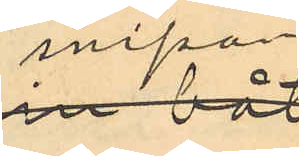snipan
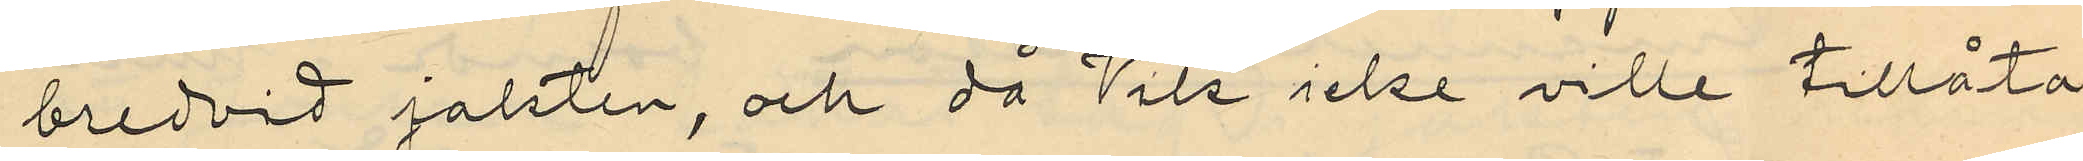bredvid jakten, och då Vik icke ville tillåta
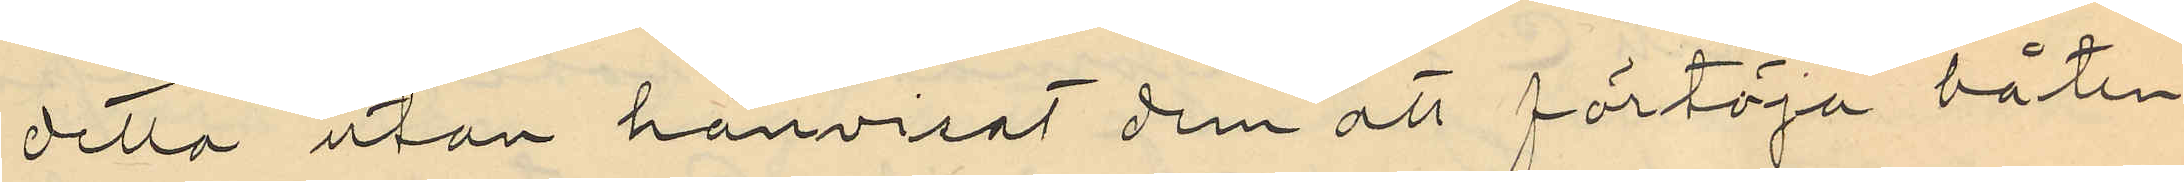detta utan hänvisat dem att förtöja båten
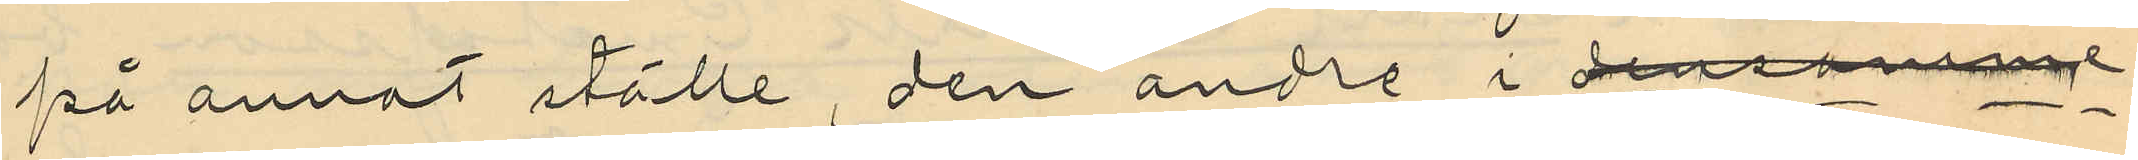på annat ställe, den andre i densamme
